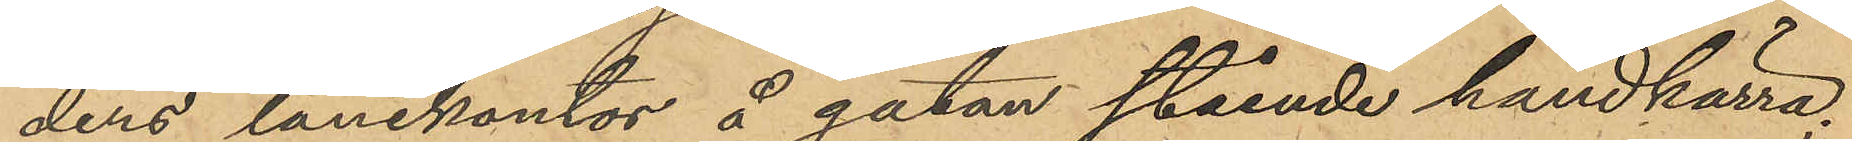ders lånekontor å gatan stående handkärra;
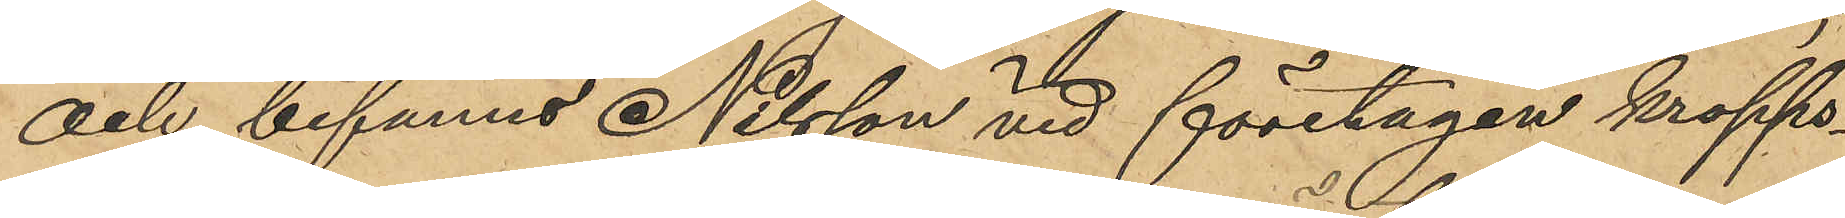och befanns Nilsson vid företagen kropps¬
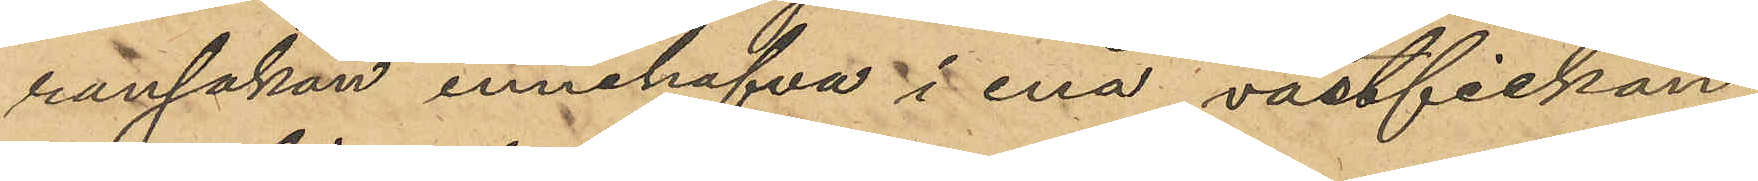ransakan innehafva i ena västfickan
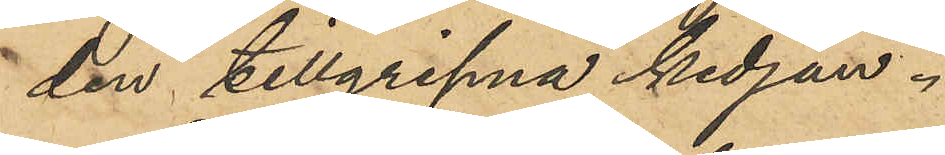den tillgripna kedjan.
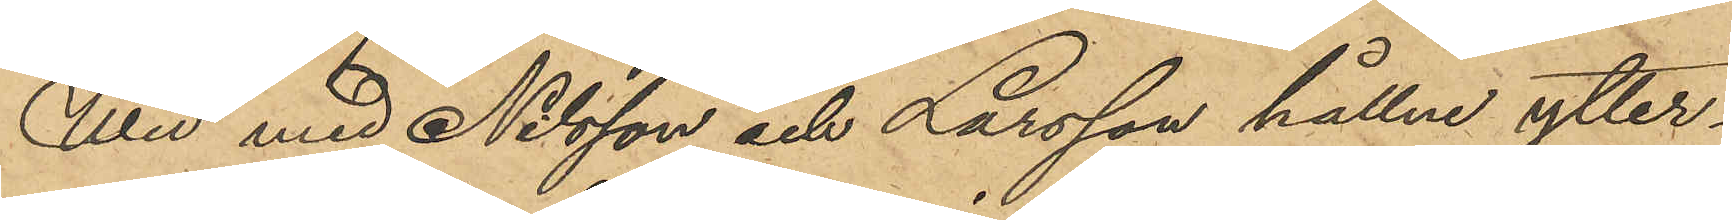Wid med Nilsson och Larsson hållne ytter¬
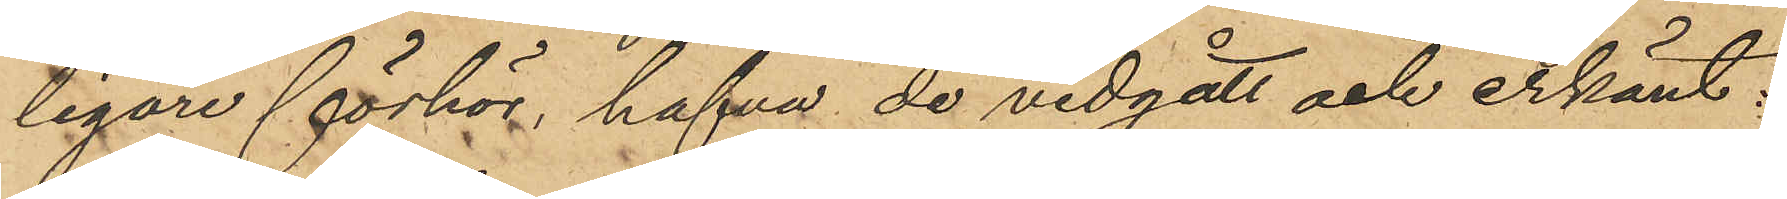ligare förhör, hafva de vidgått och erkänt:
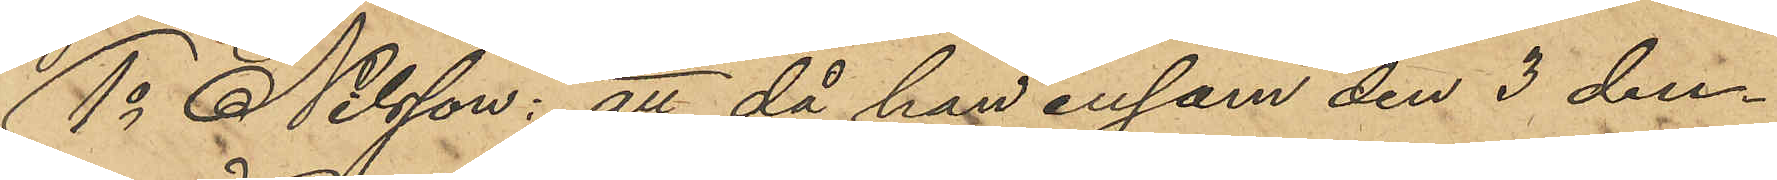1o Nilsson: att då han ensam den 3 den¬
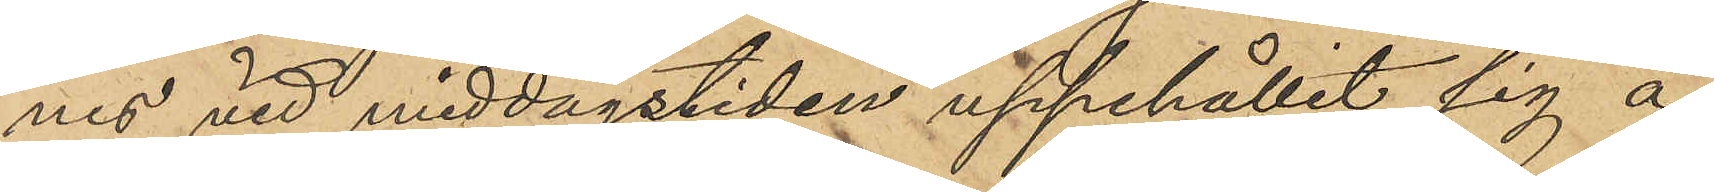nes vid middagstiden uppehållit sig å
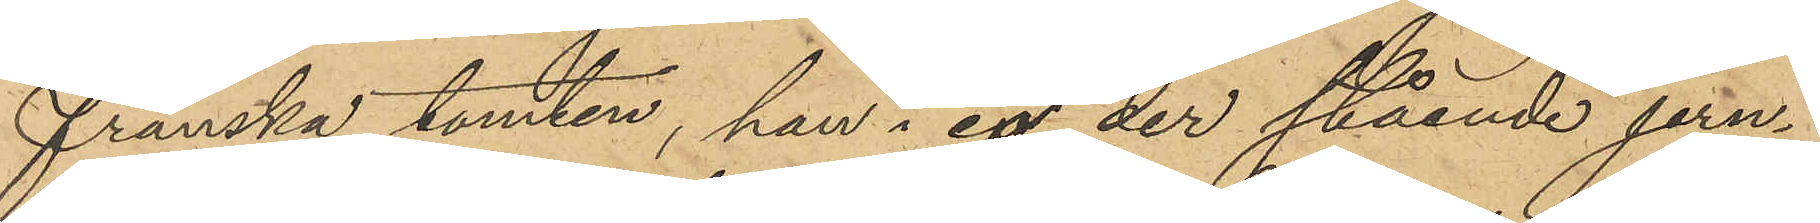franska tomten, han i en der stående jern¬
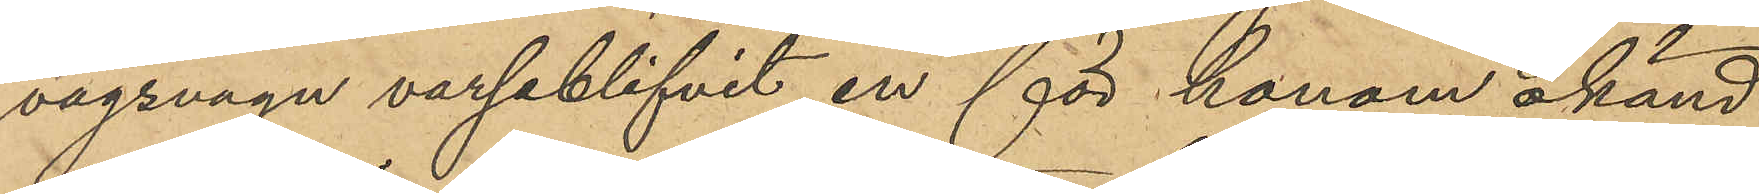vägsvagn varseblifvit en för honom okänd
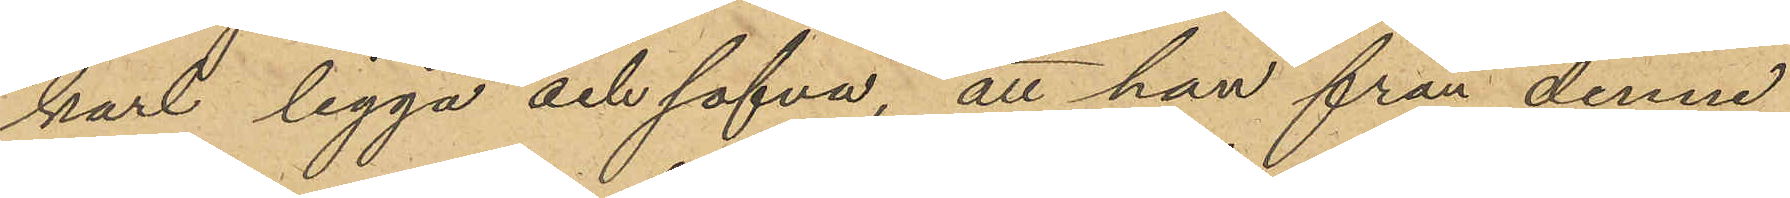karl ligga och sofva, att han från denne
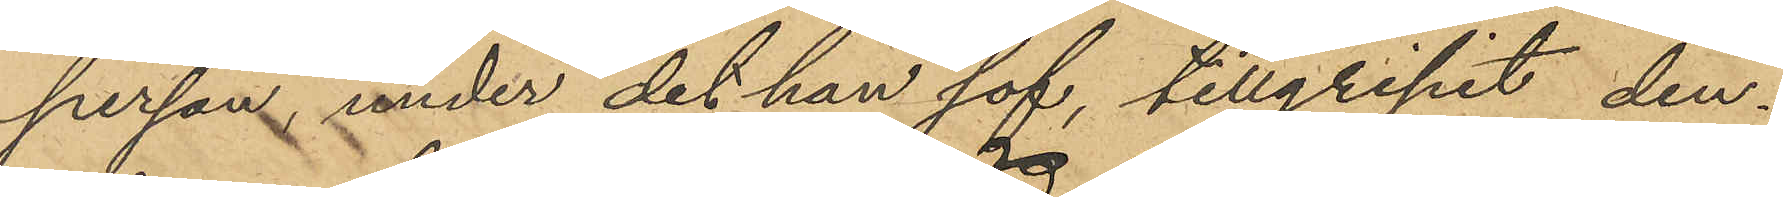person, under det han sof, tillgripit den¬
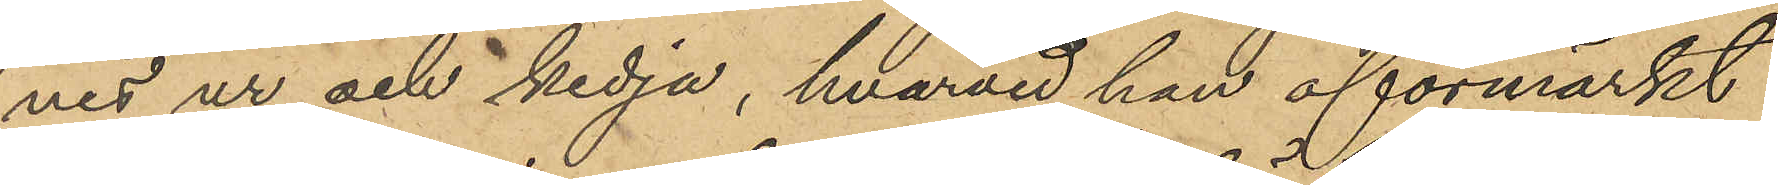nes ur och kedja, hvarvid han oförmärkt
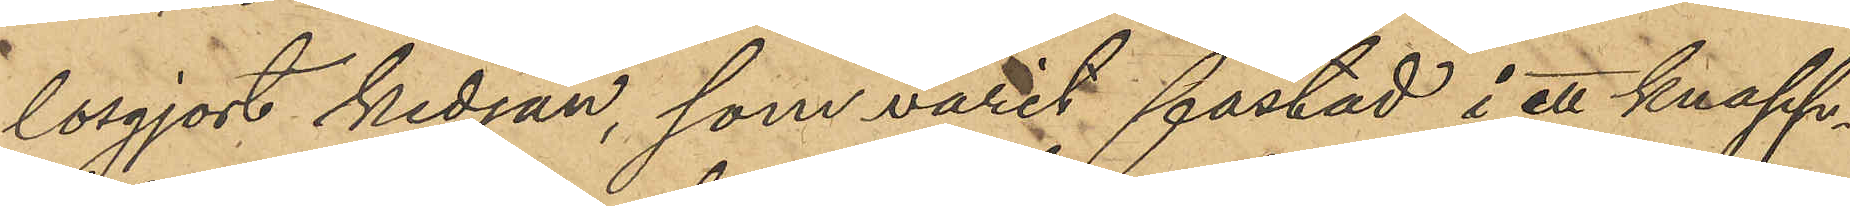lösgjort kedjan, som varit fästad i ett knapp¬
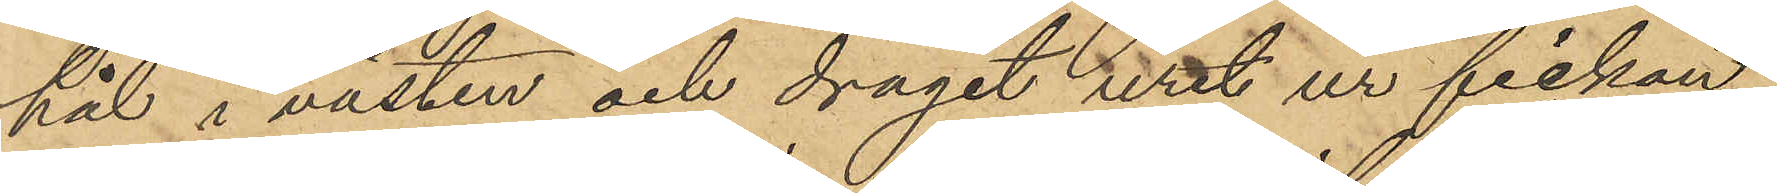hål i västen och dragit uret ur fickan;
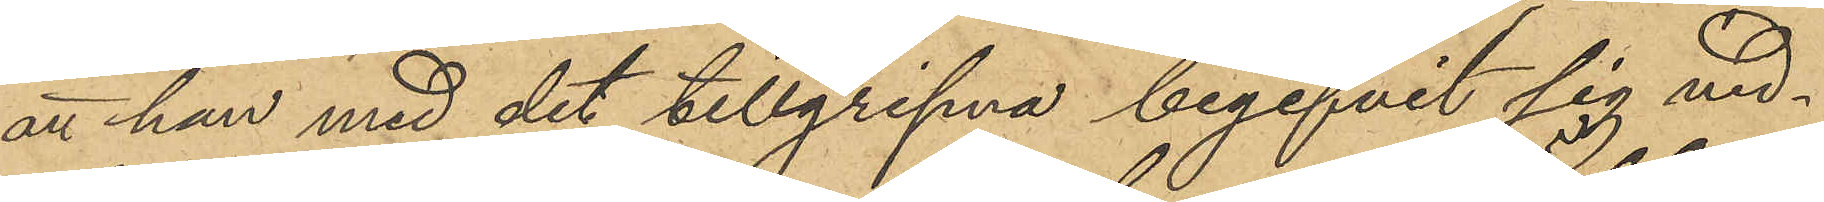att han med det tillgripna begifvit sig ned¬
